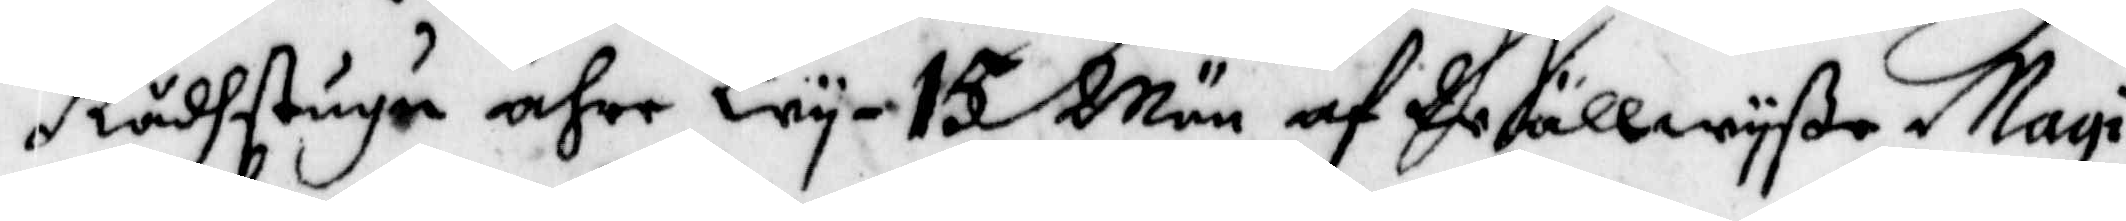Rådhstugu ähre Wy 15 Män af Wällwyße Magi¬
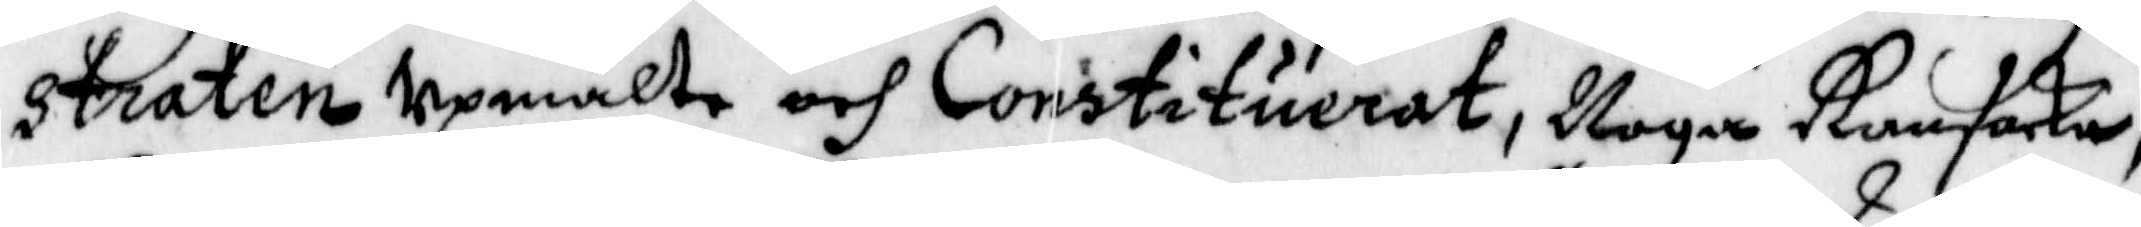straten Upmälte och Constituerat, Noga Ransaka,
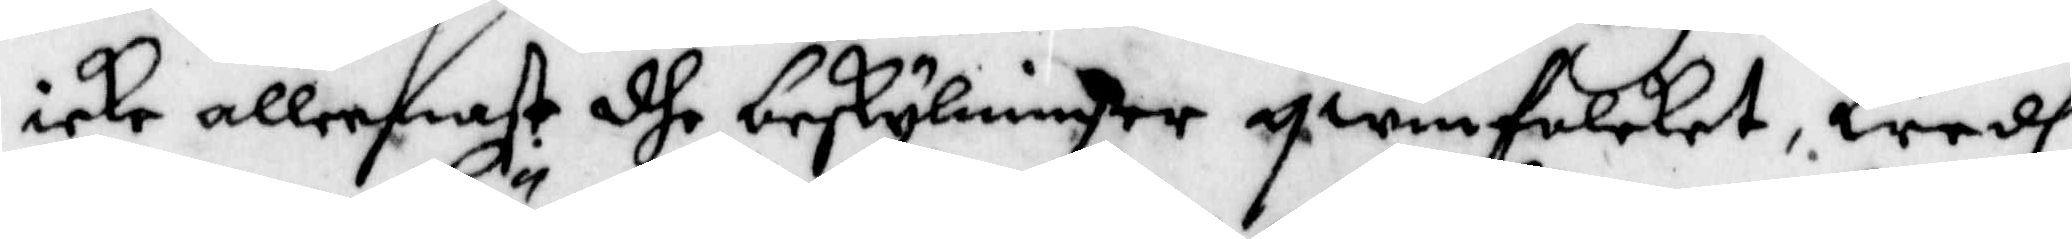icke allenast dhe beskylninger qwinfolket, Wedh
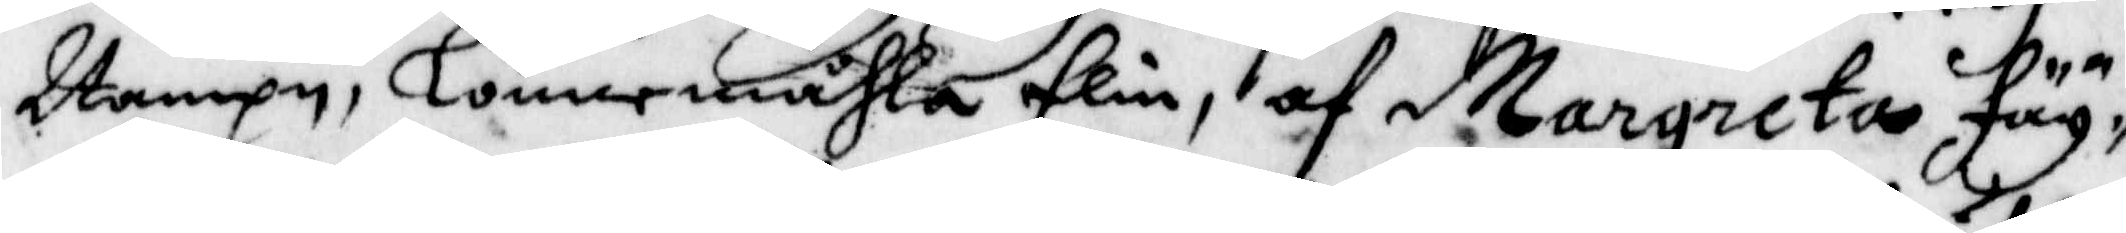Nampn, Lönermåhla Elin, af Margareta Fäy¬
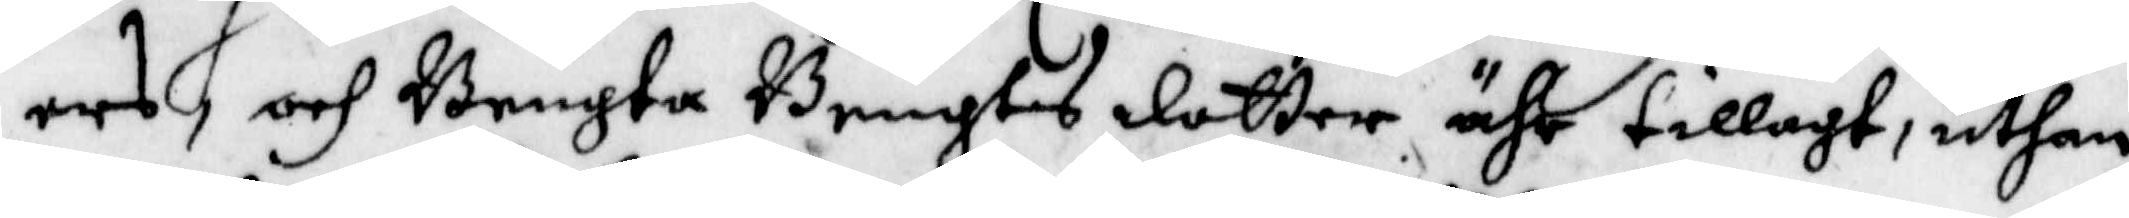ers och Bengta Bengts dotter ähr tillagt, uthan
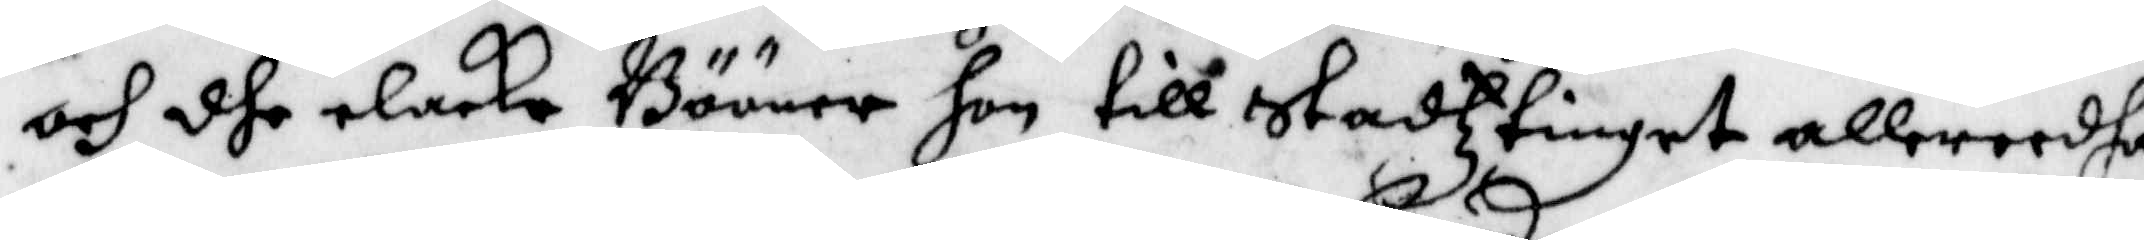och dhe elaka Bööner hon till stadztinget allereedha
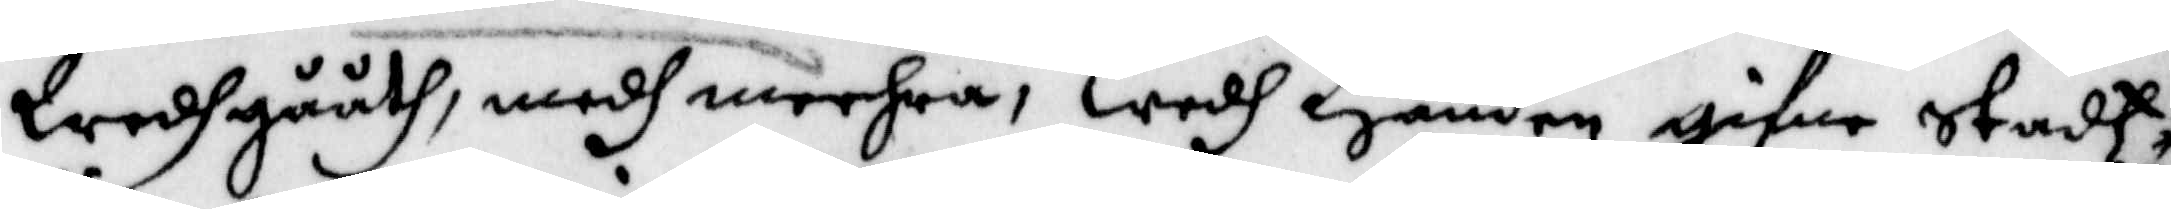Wedhgååth, medh meehra, wedh Handen gifne stadz¬
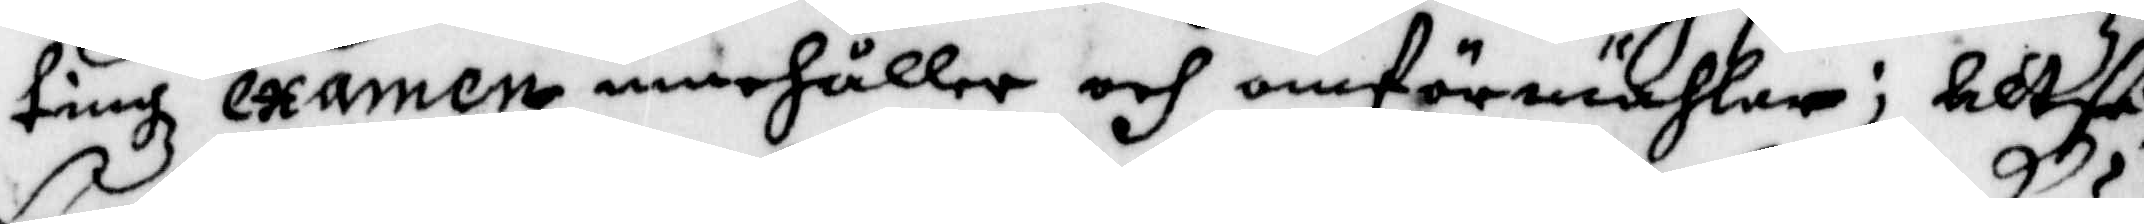tingz examen innehåller och omförmähler; Altså
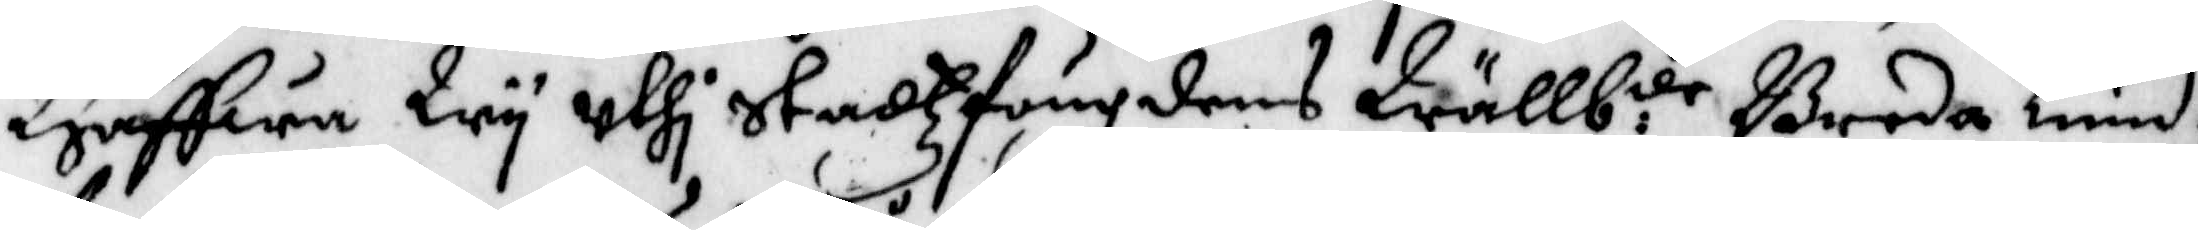Haffwa Wy uthi stadzfougdens Wällb:de Breda Knud¬
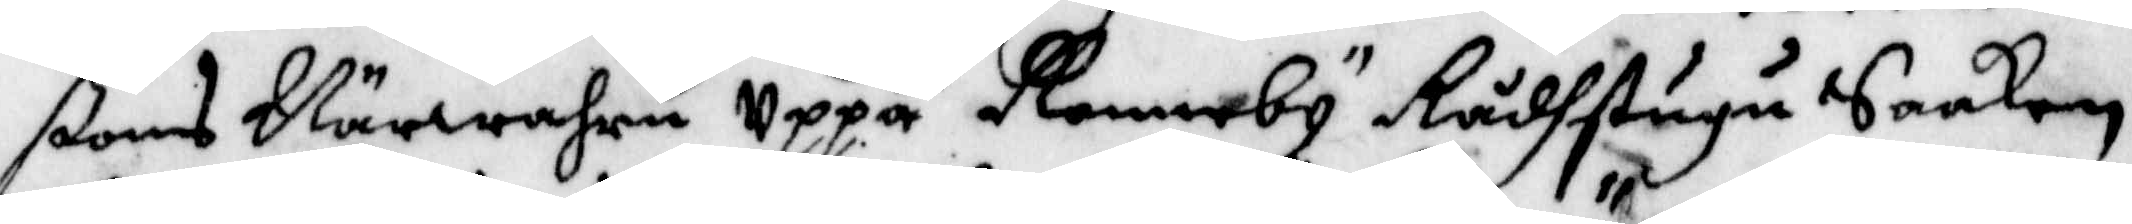ßons Närwahru Uppå Ronneby Rådstugu Saaken
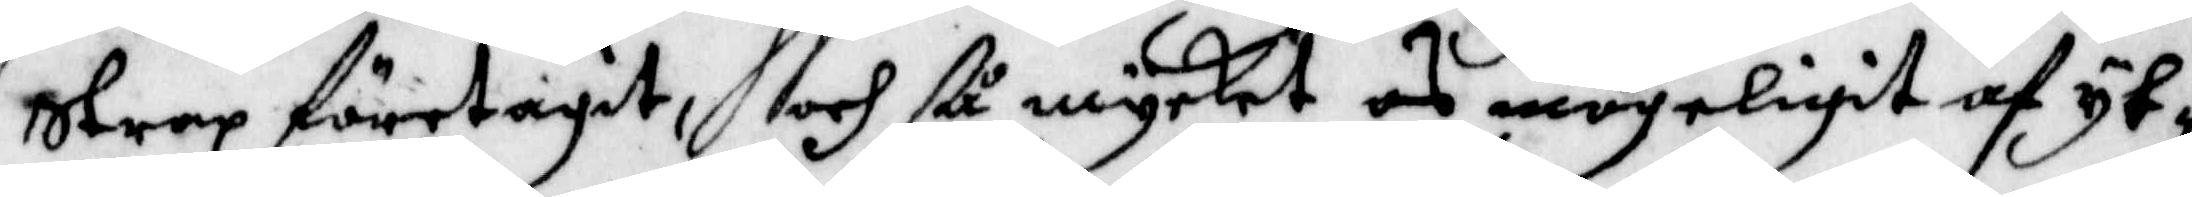strax företagit, och så mycket os mögeligit af yt¬
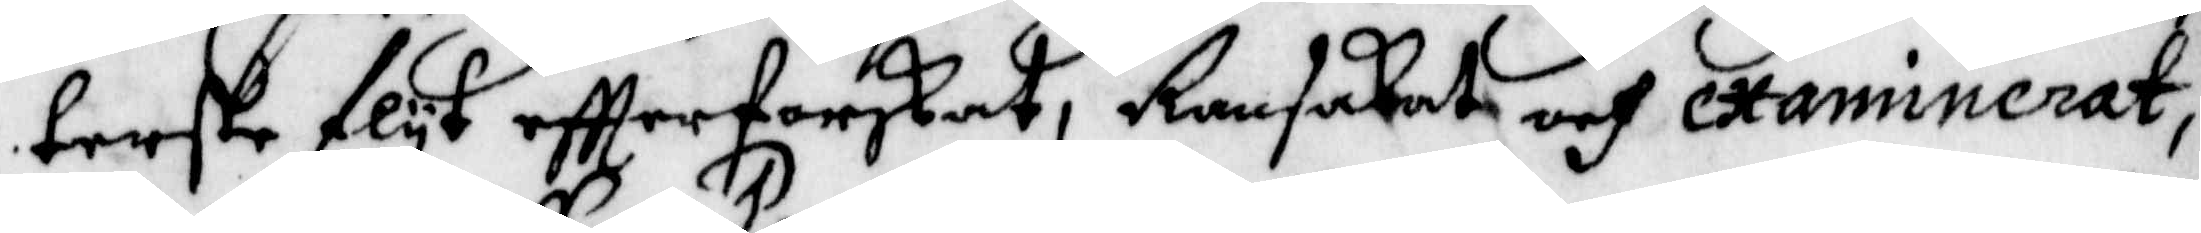terste flyt eftterforskat, Ransakat och examninerat,
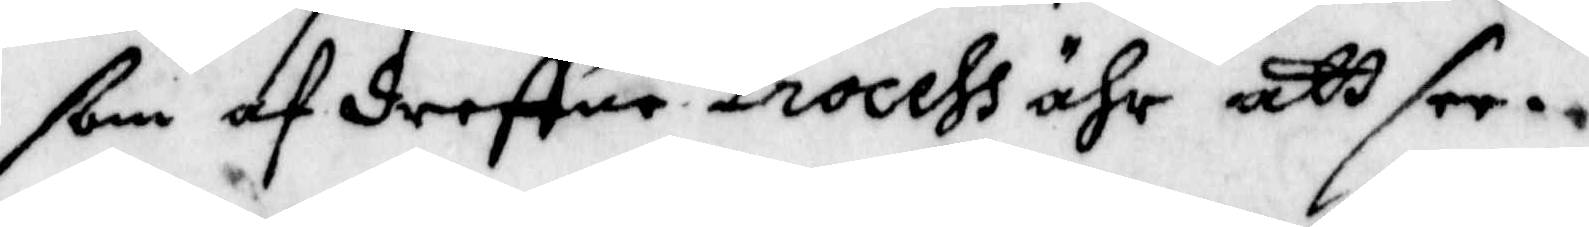som af dreffne Process ähr att see.
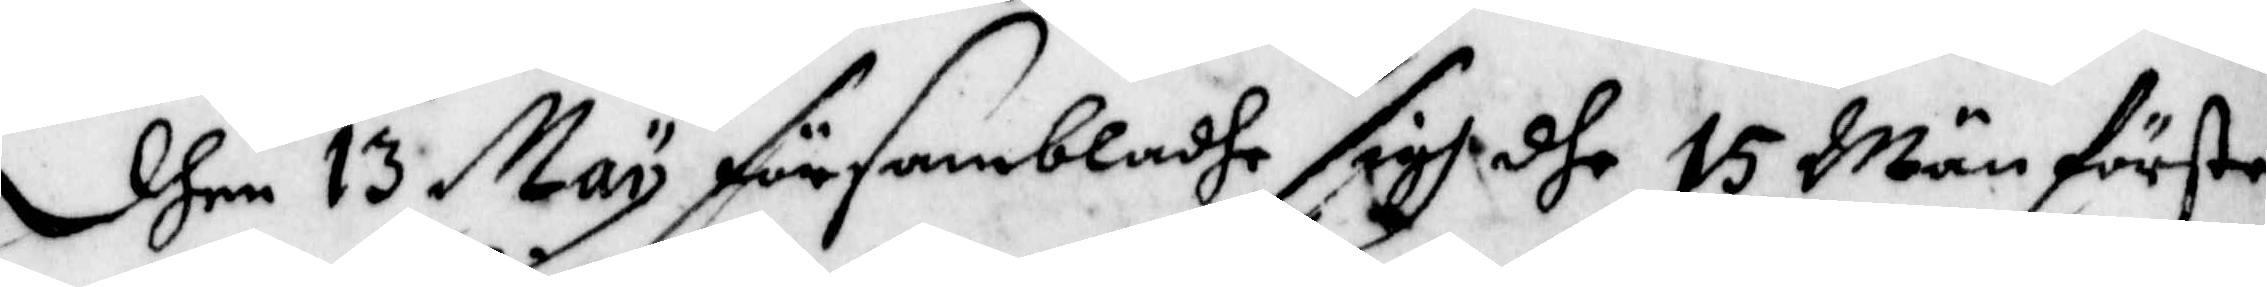Dhen 13 May försambladhe sigh dhe 15 Män förste
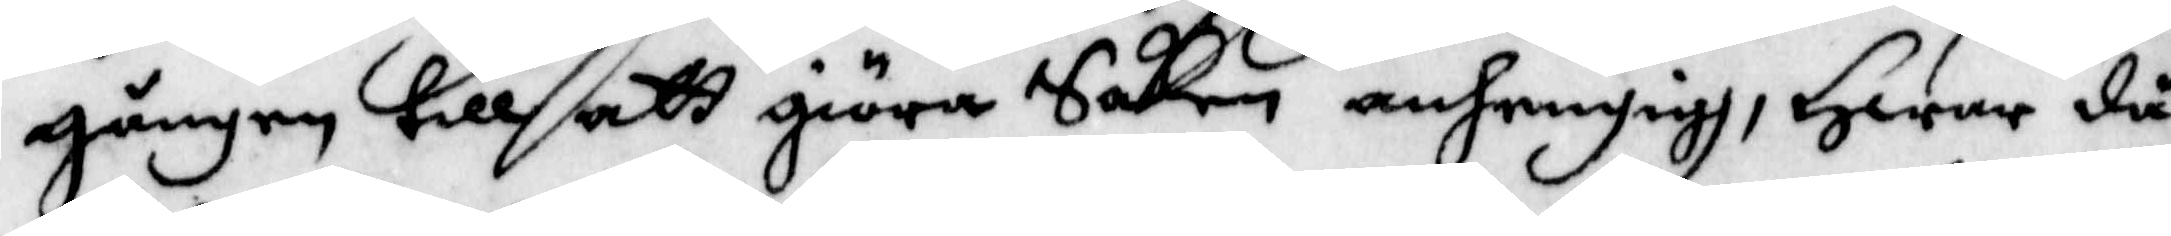gången till att giöra Saken anhengigh, Hwar då
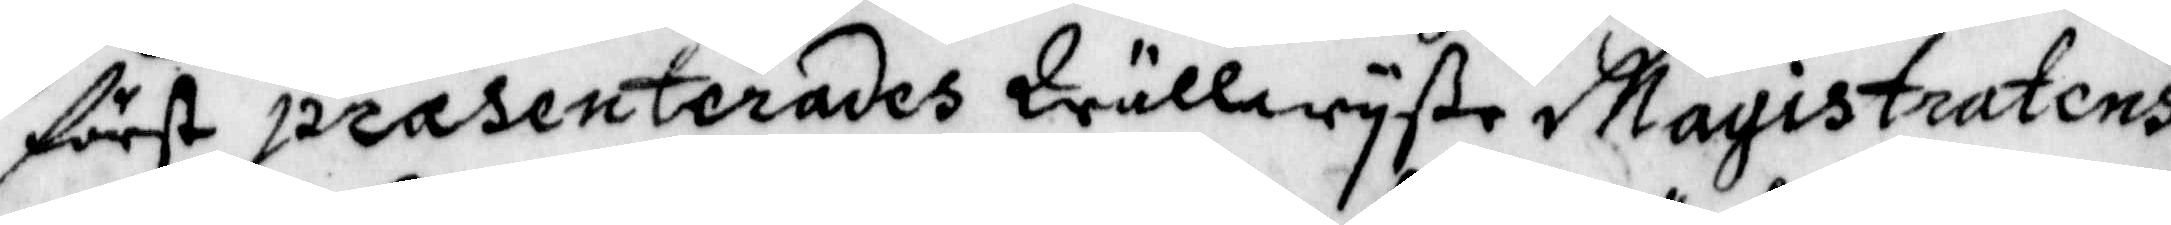först prasenterades Wällwyse Magistratens
